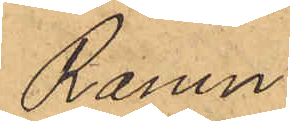Ramn
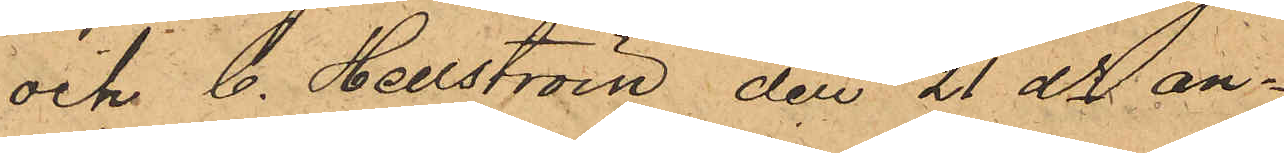och C. Hellström den 21 ds an¬
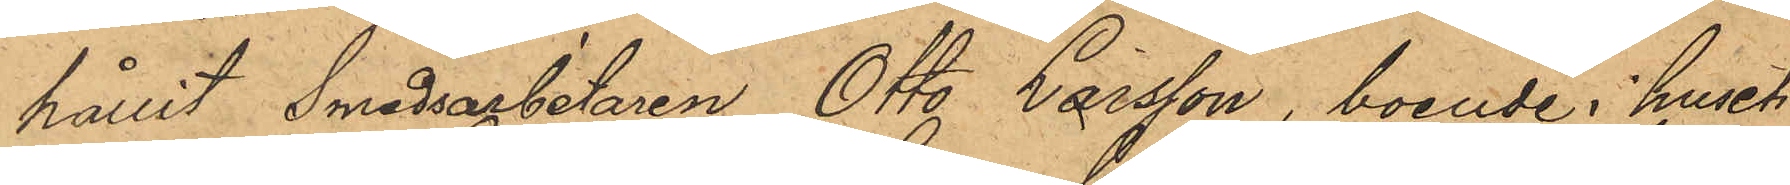hållit Smedsarbetaren Otto Larsson, boende i huset
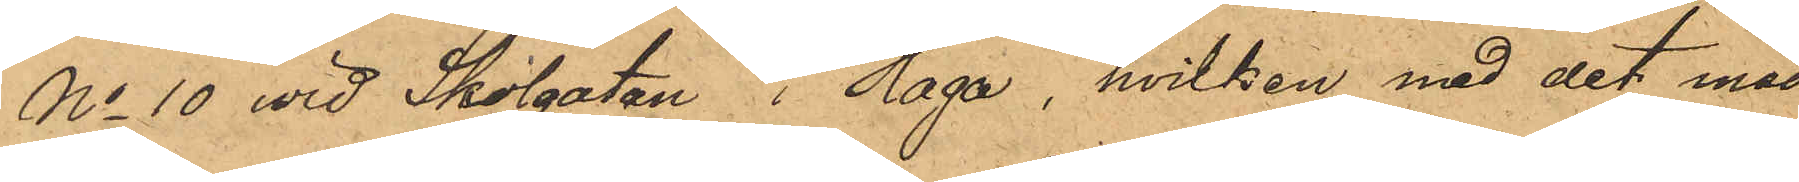No 10 vid Skolgatan i Haga, hvilken med det med
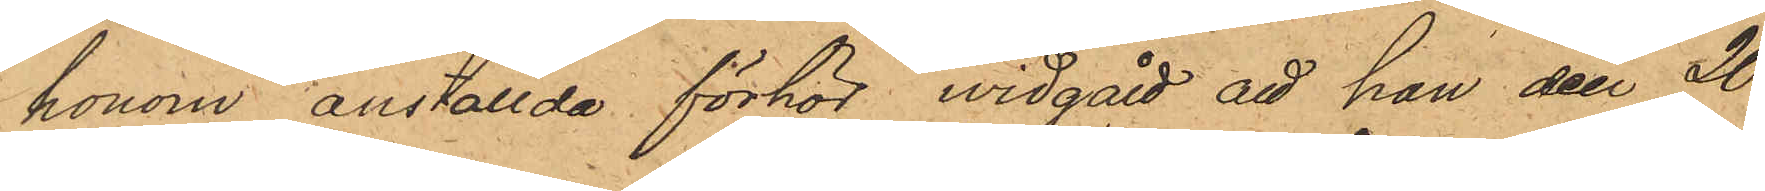honom anställda förhör, widgått att han den 20
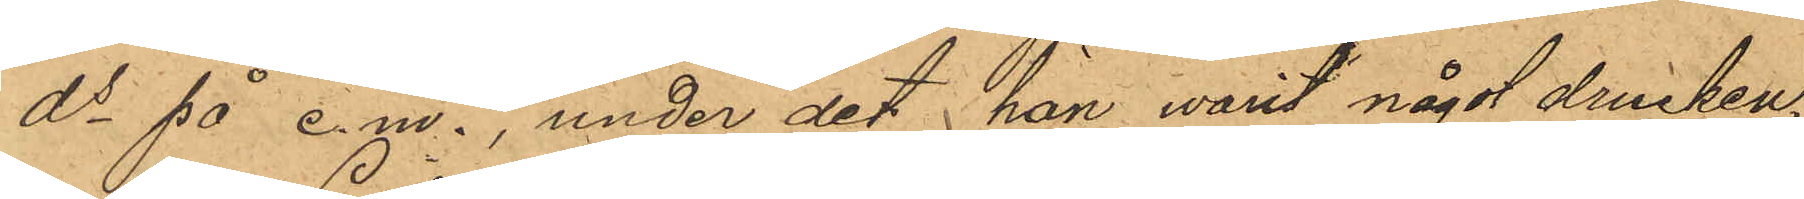ds på e.m., under det han warit något drucken,
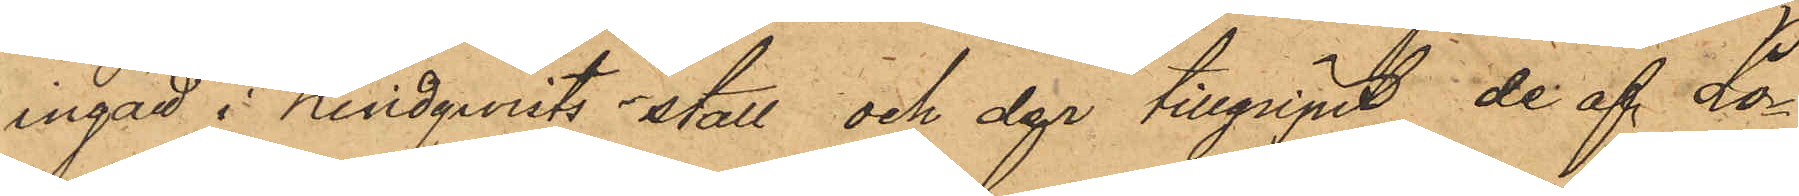ingatt i Lindqwists stall och der tillgripit de af Lo¬
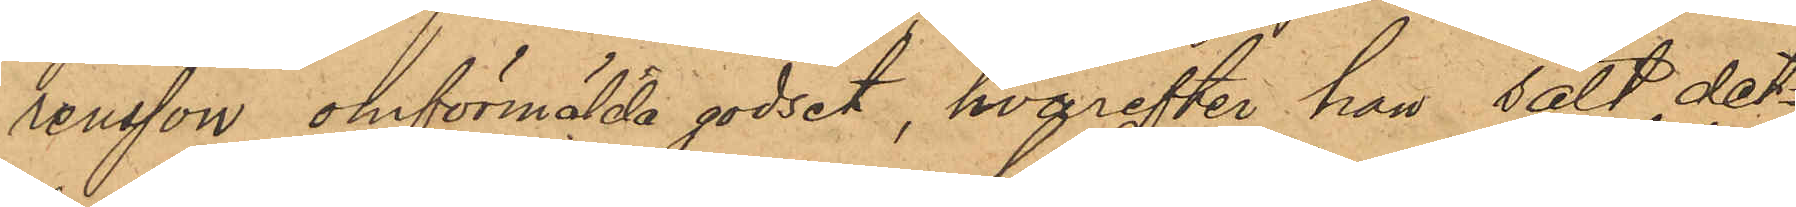rensson omförmälda godset, hvarefter han sålt det¬
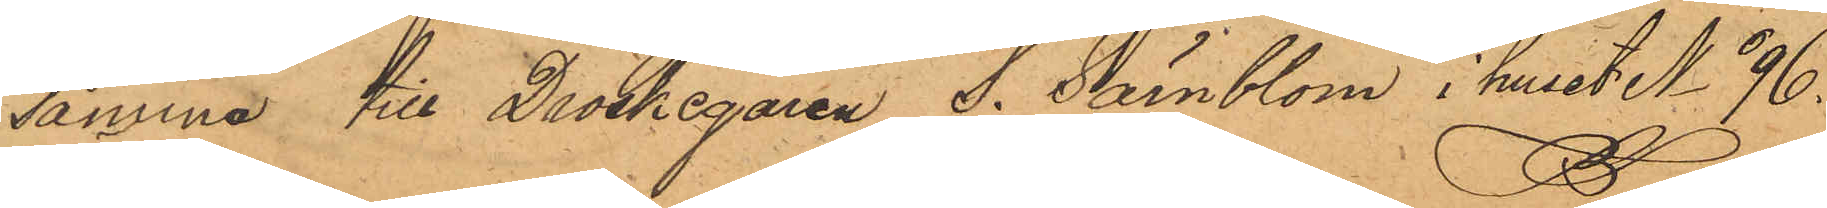samma till Droskegaren S. Särnblom i huset No 96,
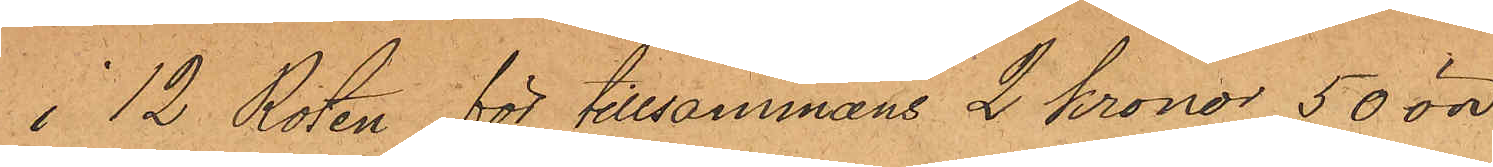i 12 Roten för tillsammans 2 kronor 50 öre
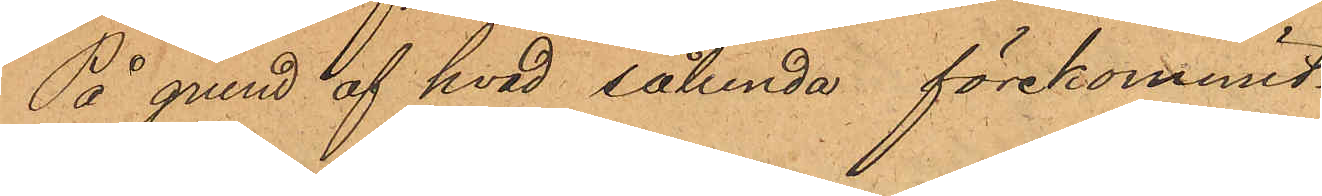På grund af hvad sålunda förekommit
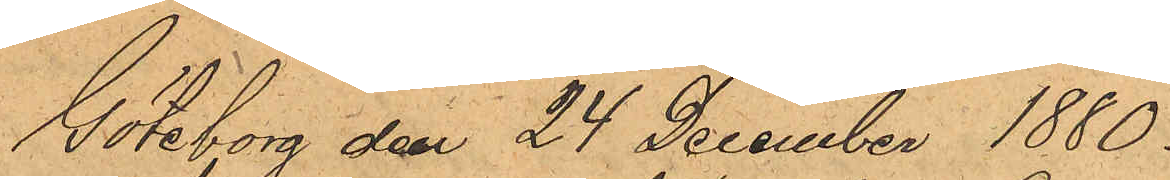Göteborg den 24 December 1880.
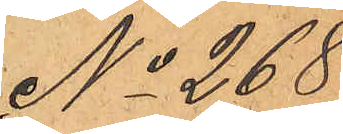No 268.
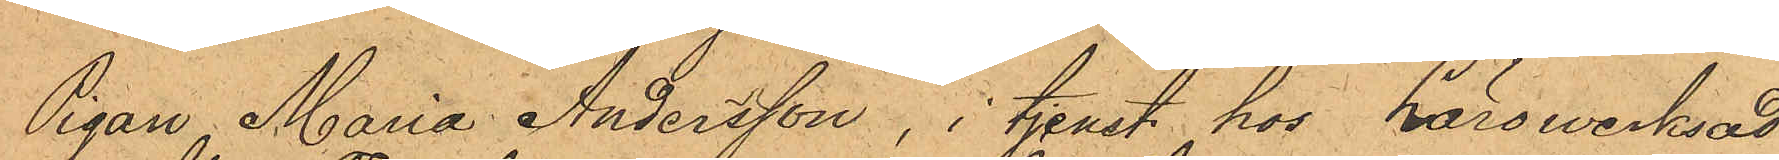Pigan Maria Andersson, i tjenst hos Lärowerksad¬
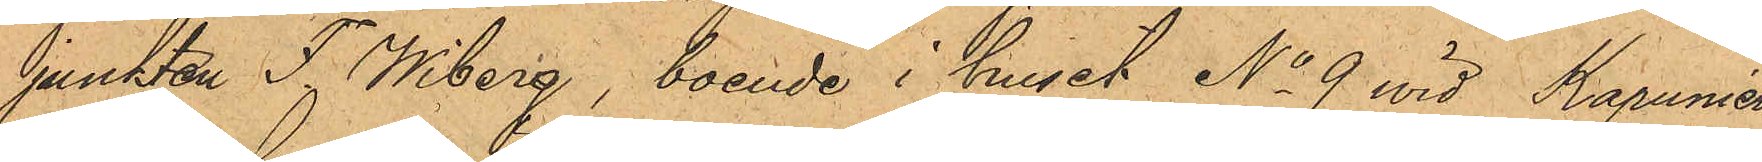junkten F. Wiberg, boende i huset No 9 vid Kapunier¬
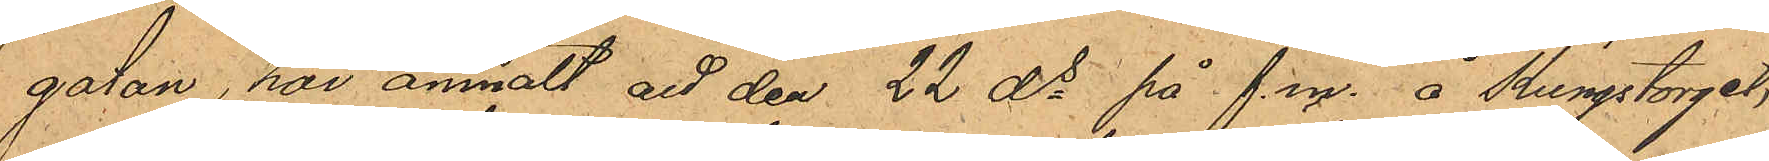gatan, har anmält att den 22 ds på f.m. å Kungstorget,
